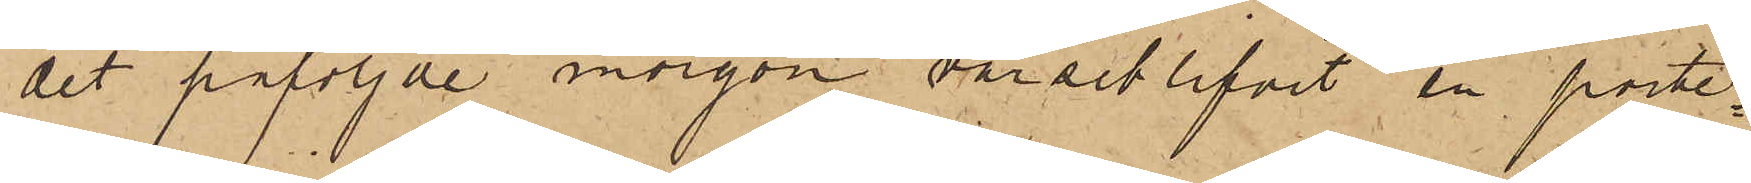det påföljde morgon varseblifvit en porte¬
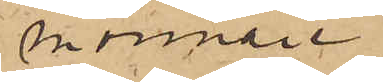monnaie
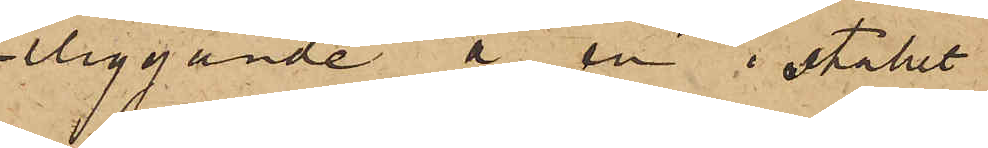liggande å en i stallet
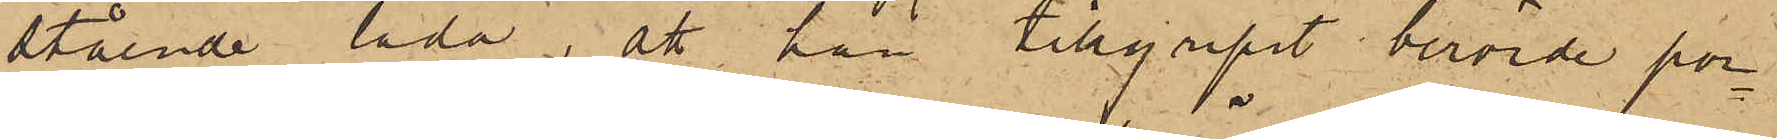stående låda, att han tillgripit berörde por¬
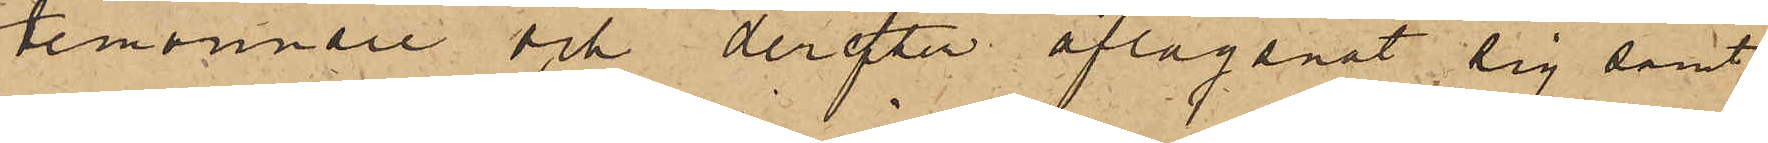temonnaie och derefter aflägsnat sig samt
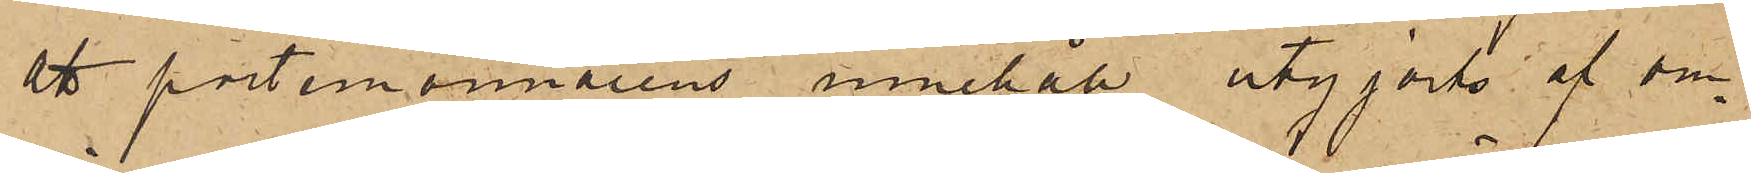att portmonnaiens innehåll utgjorts af om¬
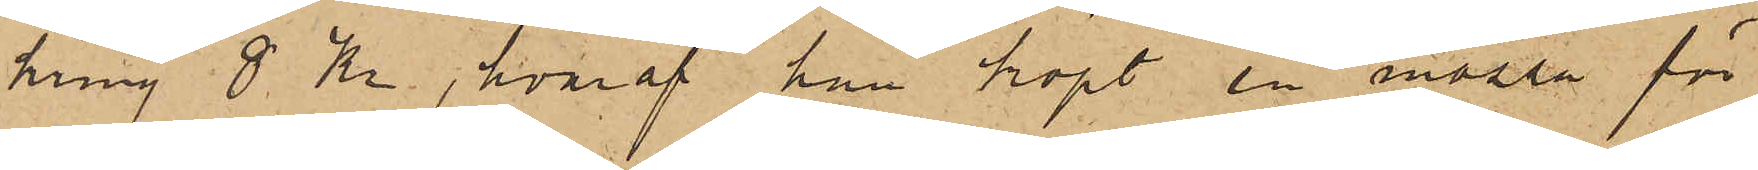kring 8 Kr, hvaraf han köpt en mössa för
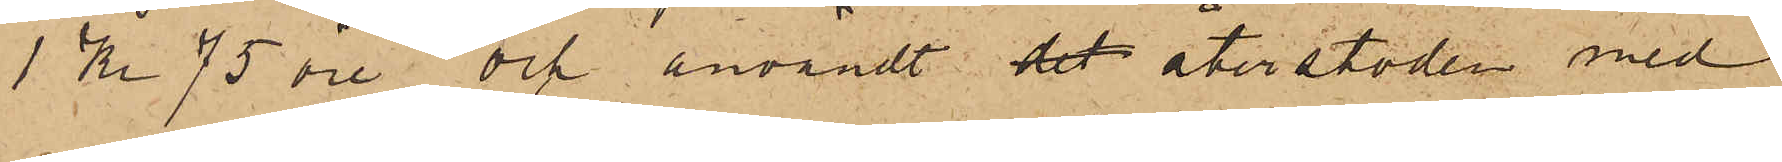1 Kr 75 öre, och användt det återstoden med
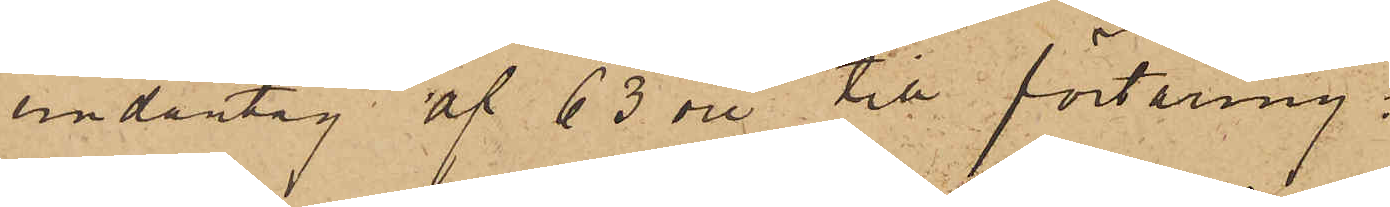undantag af 63 öre till förtäring.
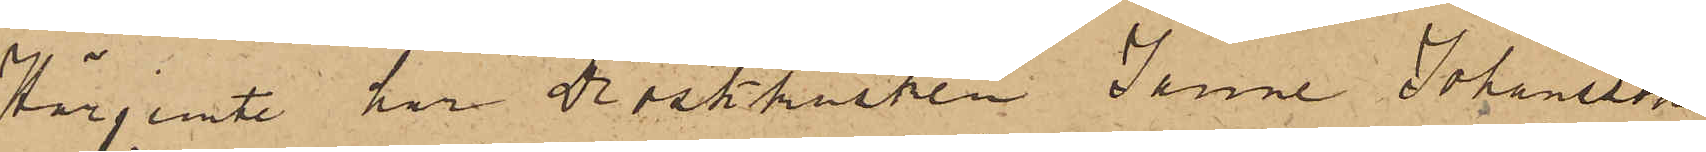Härjemte har Droskkusken Janne Johansson
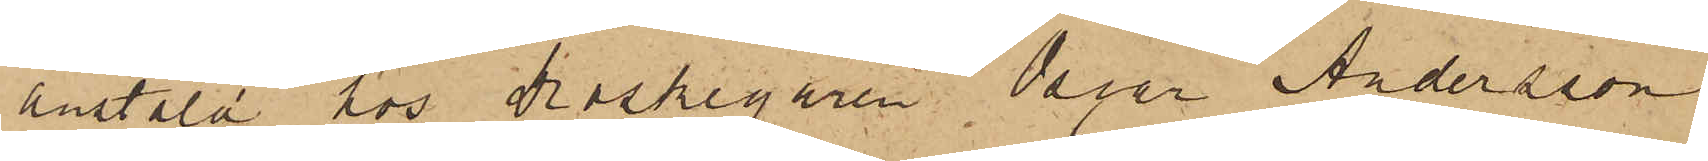anstäld hos droskegaren Peter Andersson
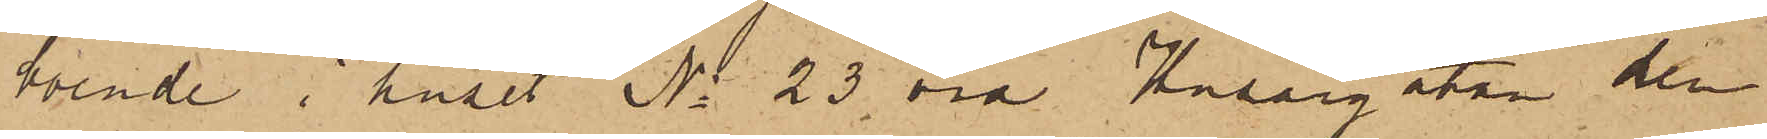boende i huset No 23 vid Husargatan den
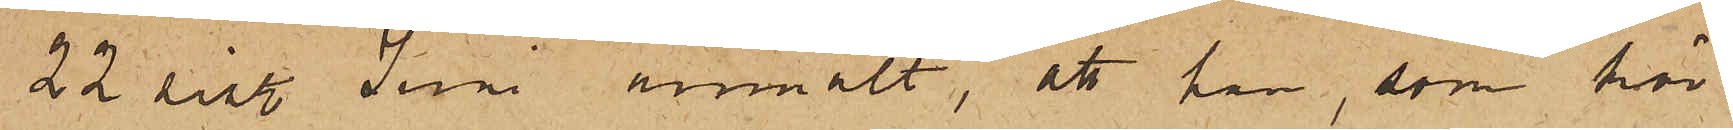22 sist. Juni anmält, att han, som kör
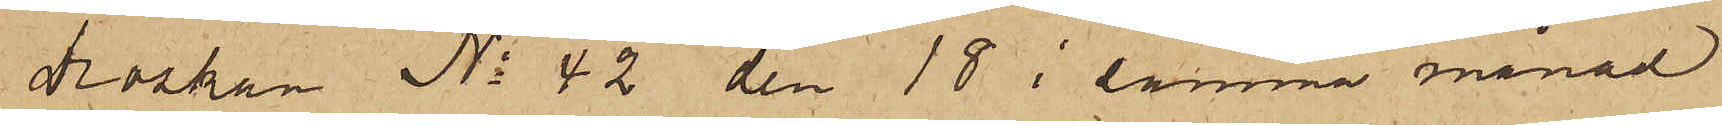Droskan No 42 den 18 i samma månad
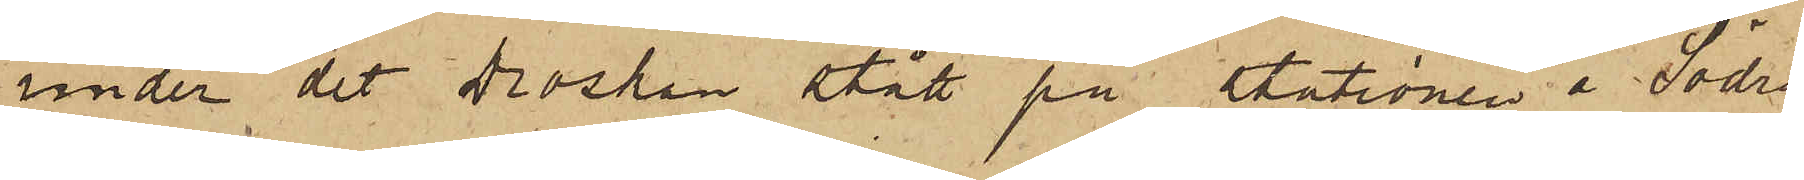under det Droskan stått på stationen å Södra
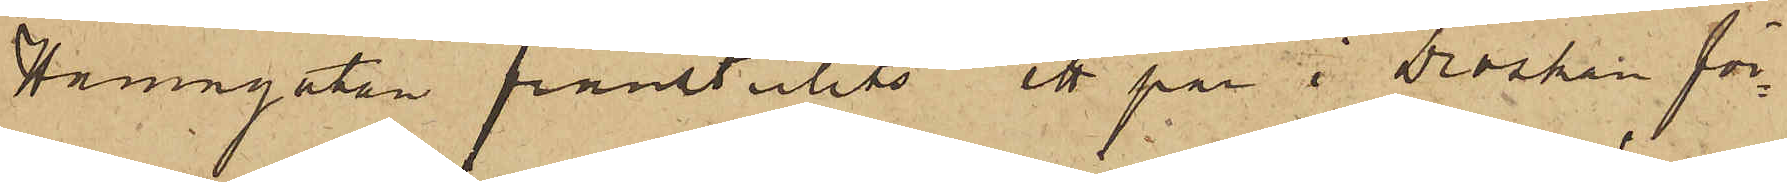Hamngatan frånstulits ett par i Droskan för¬
